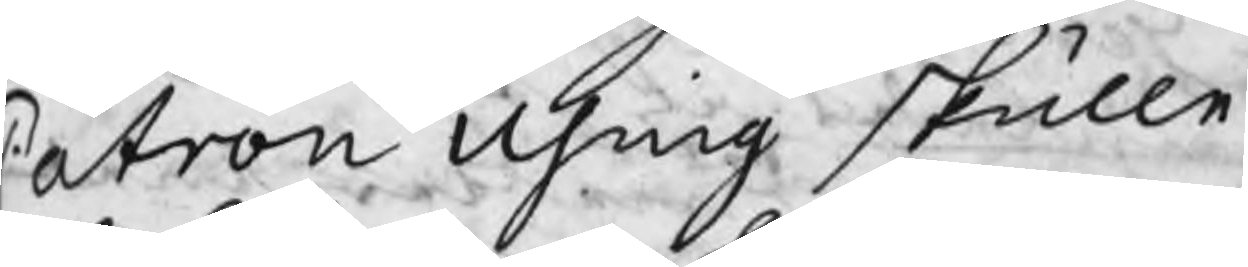Patron Using skulle
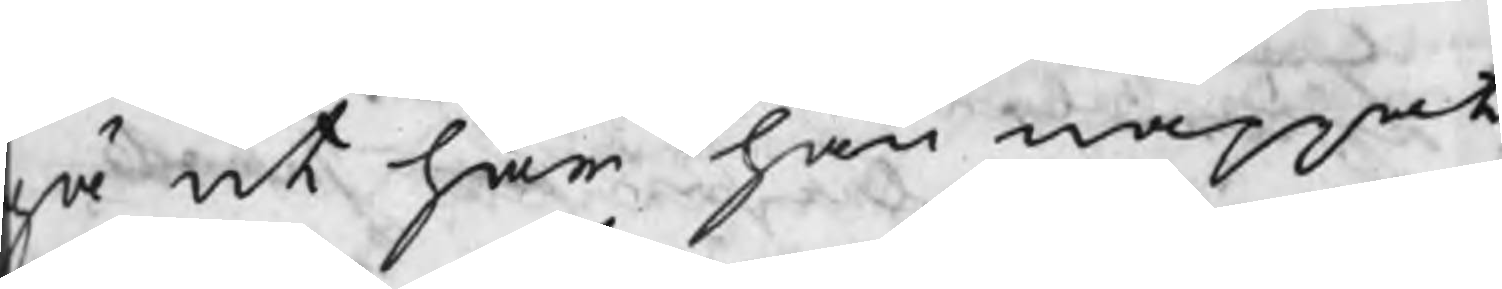gå ut har han nappat
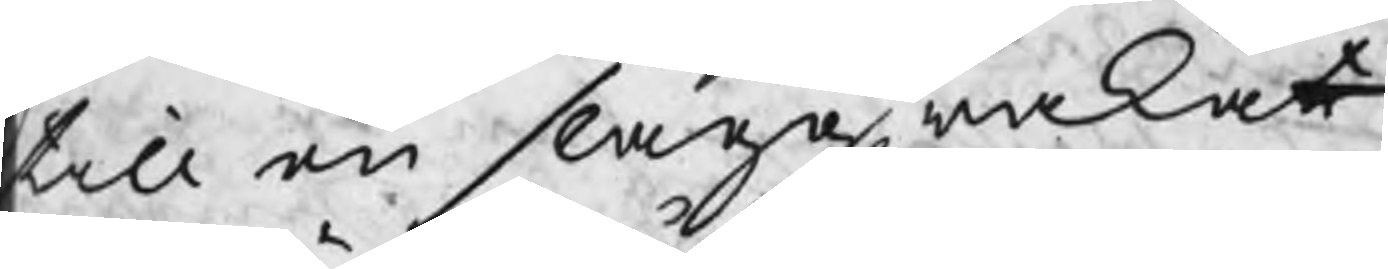till en slaggrakat
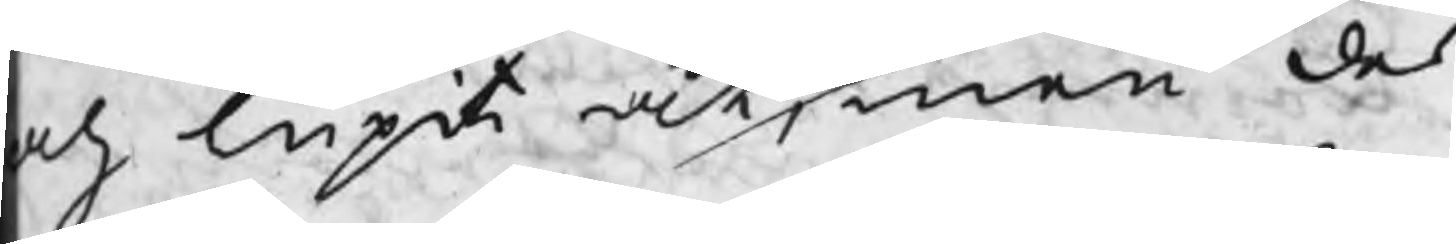ch lupit åt, men des
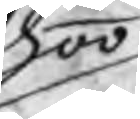honom
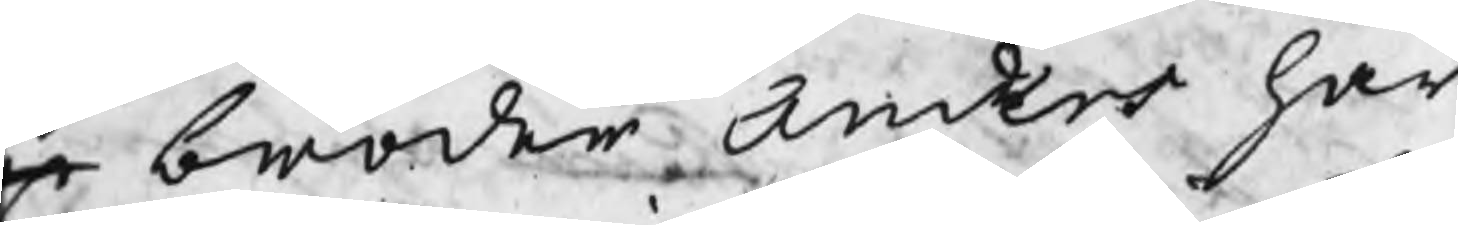r broder Anders har
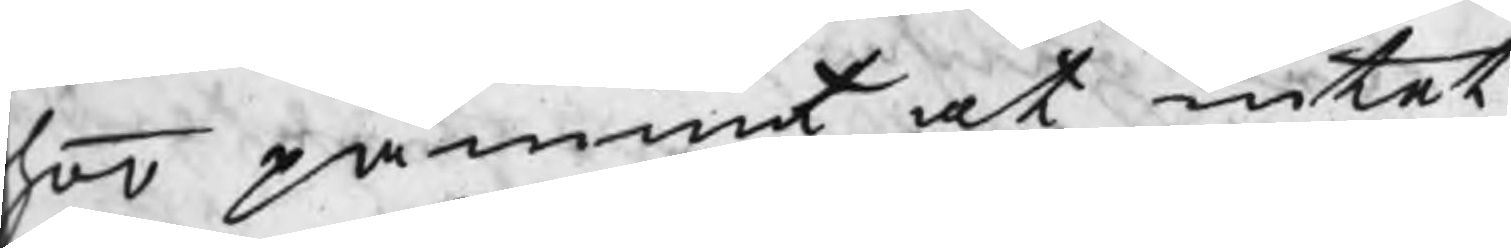hoo påmint at intet
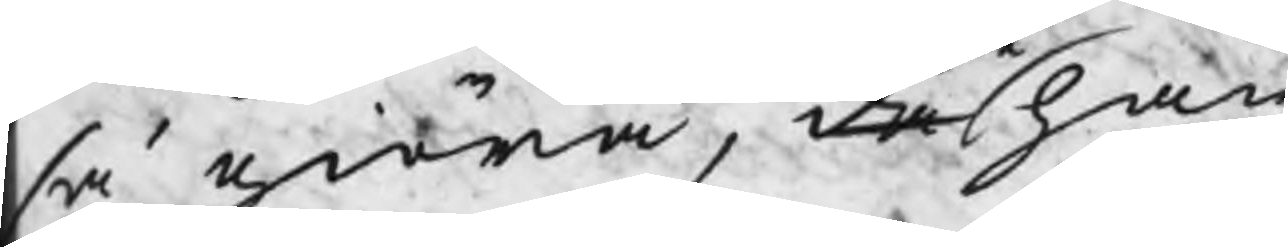så giöra, då han
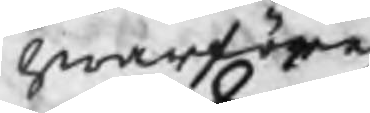hwarföre
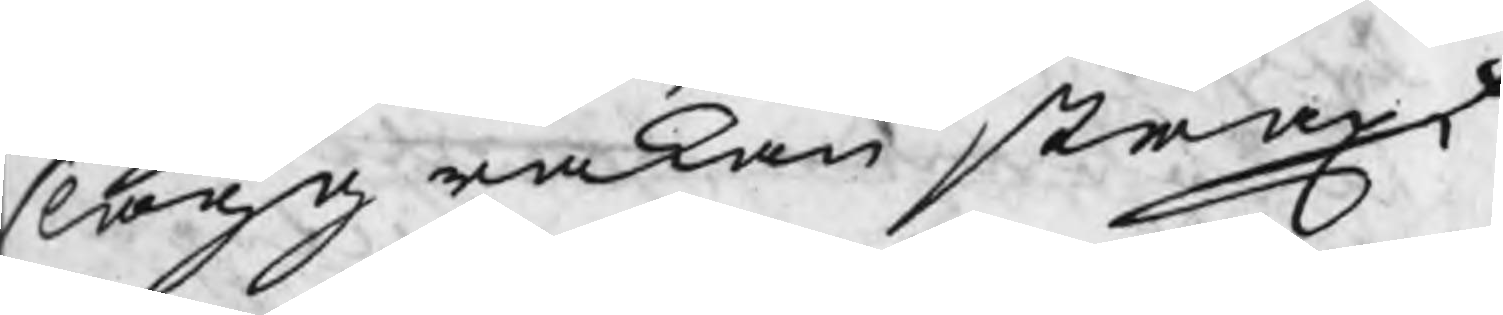slaggrakan straxt
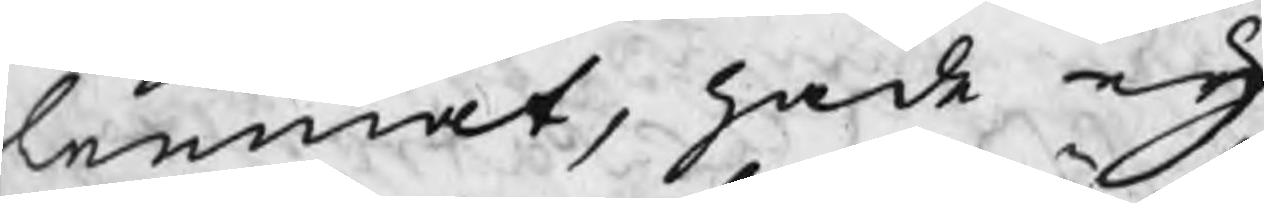lemnat, hade eij
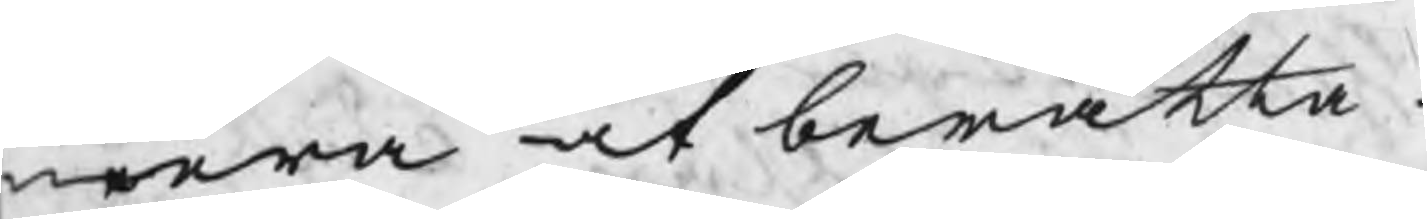mera at berätta.
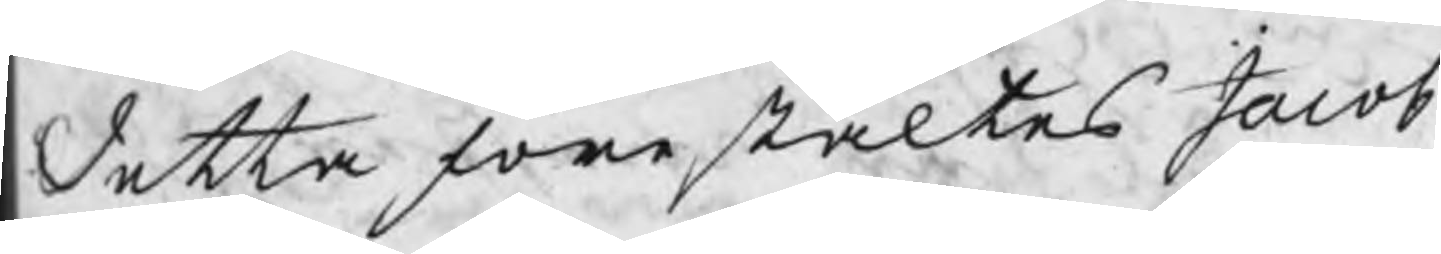detta förestältes Jacob
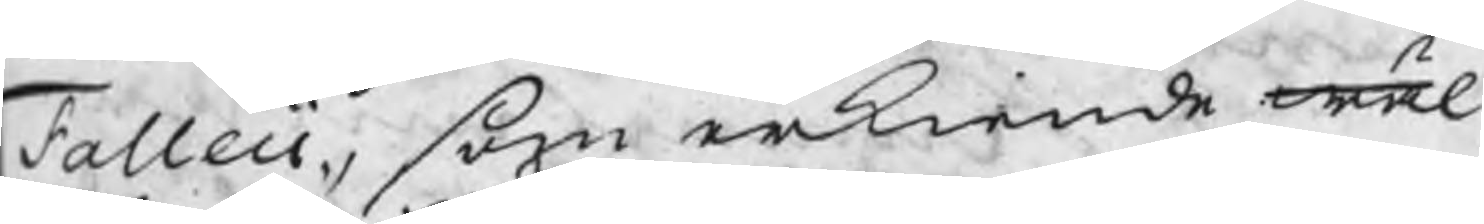falleii, som erkiende wäl
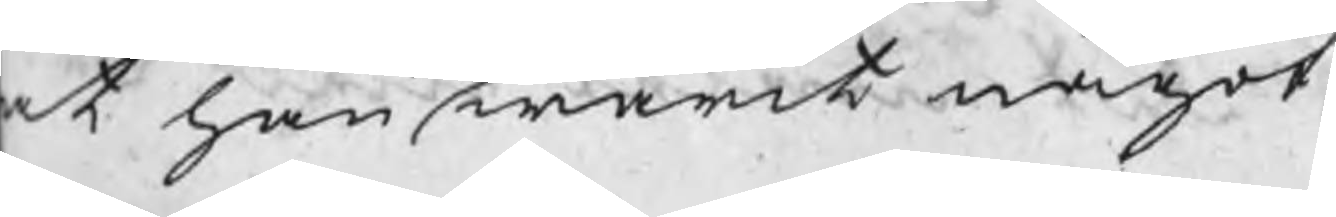at han warit något
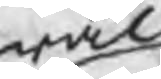wäl
